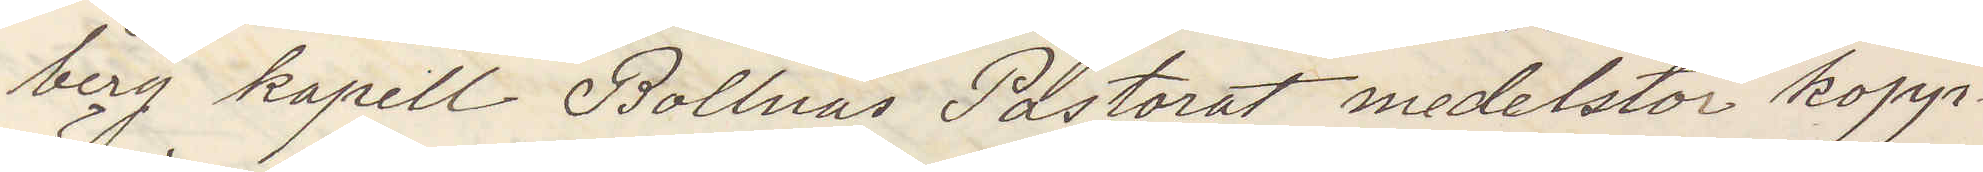berg kapell Bollnäs Pastorat medelstor kopp¬
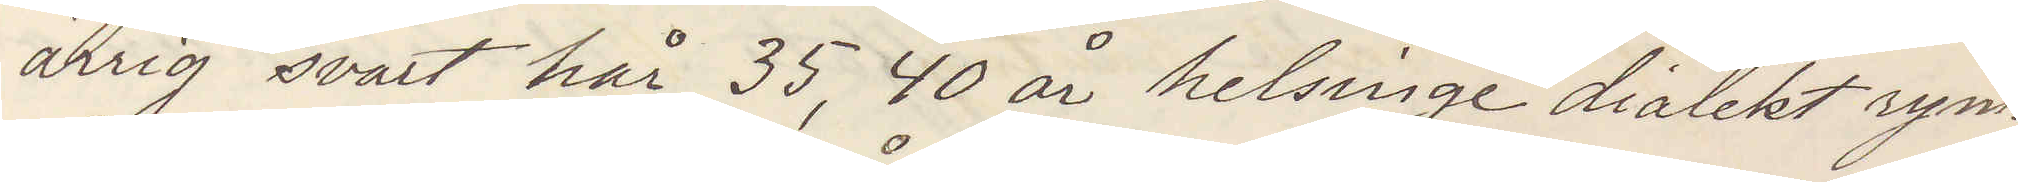ärrig svart hår 35, 40 år helsinge dialekt rym¬
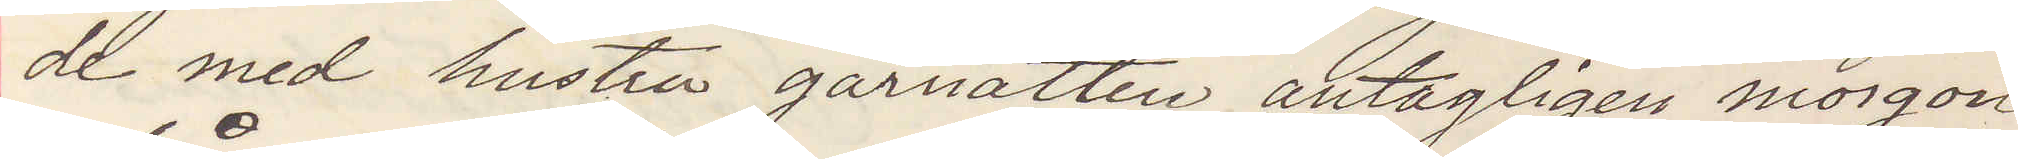de med hustrun gårnatten antagligen morgon
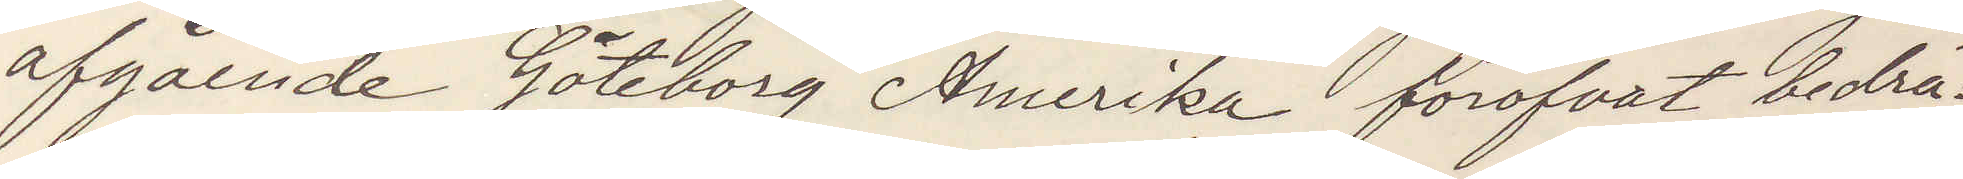afgående Göteborg Amerika föröfvat bedrä¬
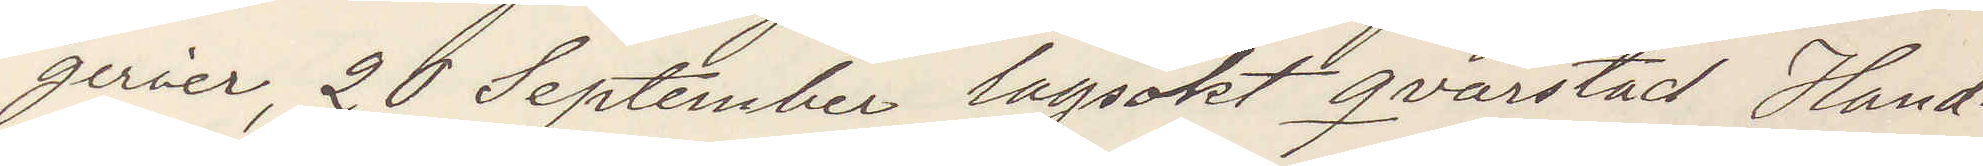gerier, 20 September lagsökt qvarstad Hand¬
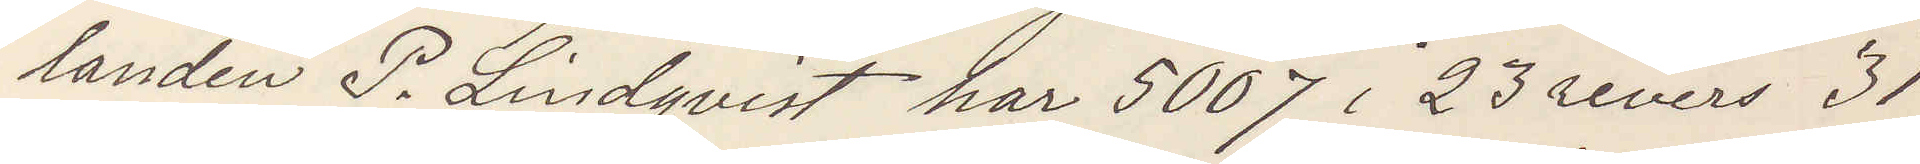landen P. Lindqvist har 5007 i 23 revers 31
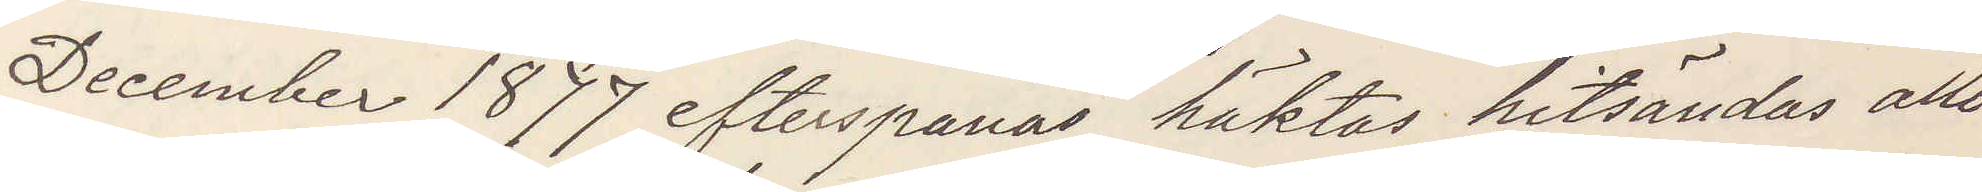December 1877 efterspanas häktas hitsändas allo
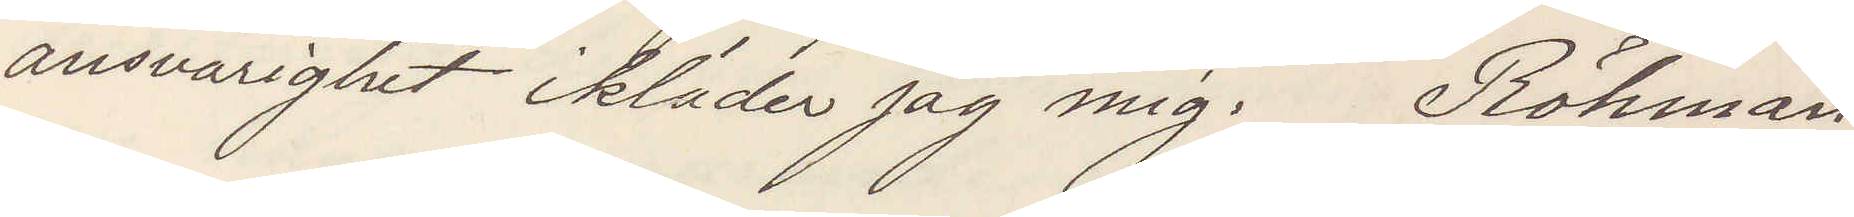ansvarighet ikläder jag mig. Röhman
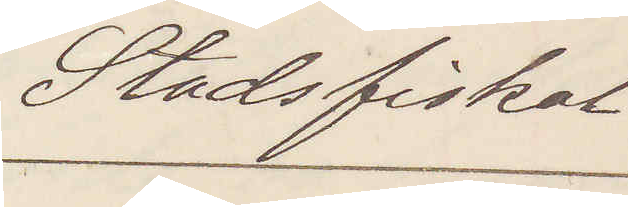Stadsfiskal
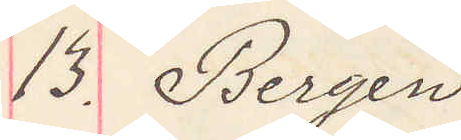13. Bergen
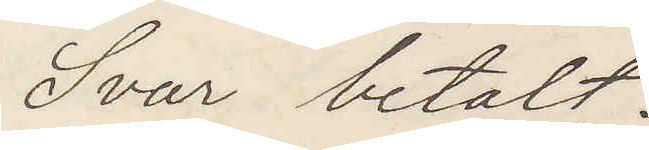Svar betalt.
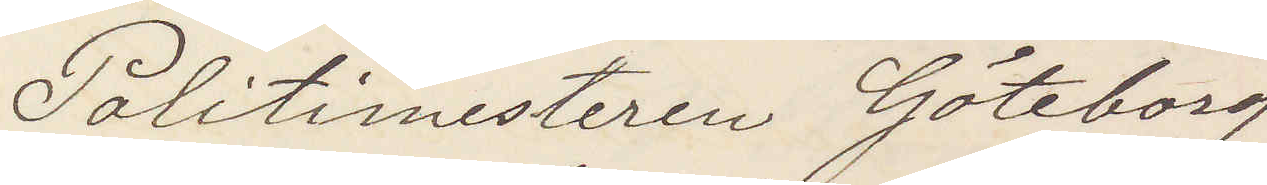Politimesteren Göteborg
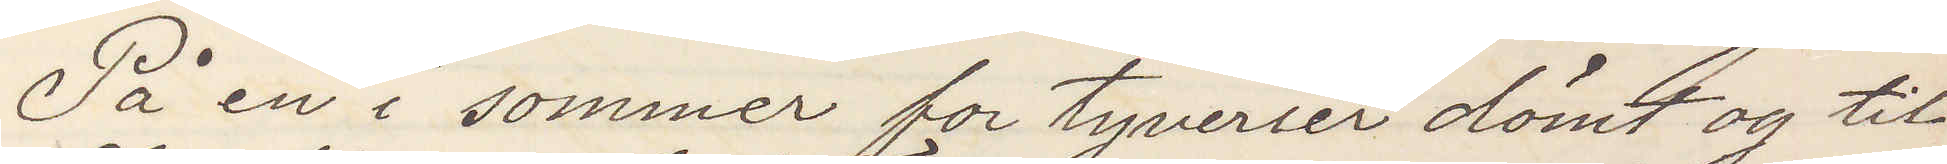På en i sommer for tyverier dömt og til
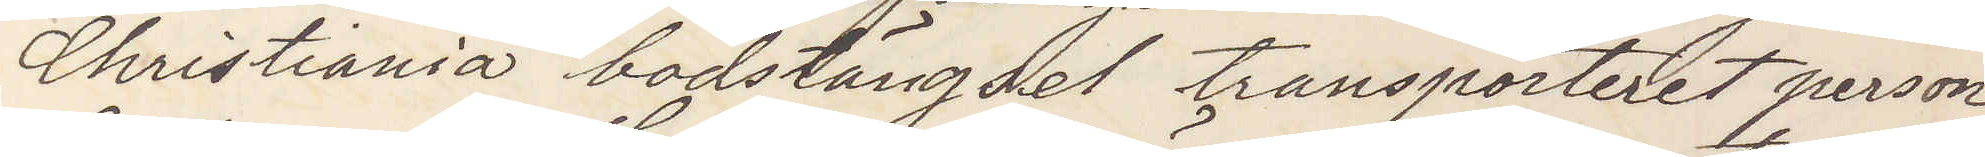Christiania bodstängsel transporteret person
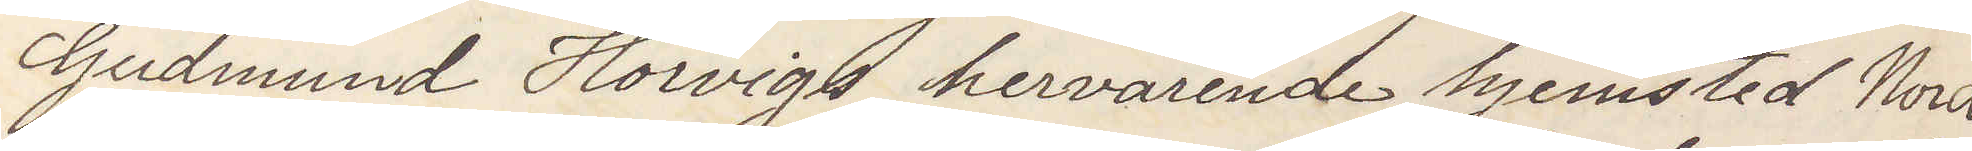Gudmund Horvigs hervärende hjemsted Nord¬
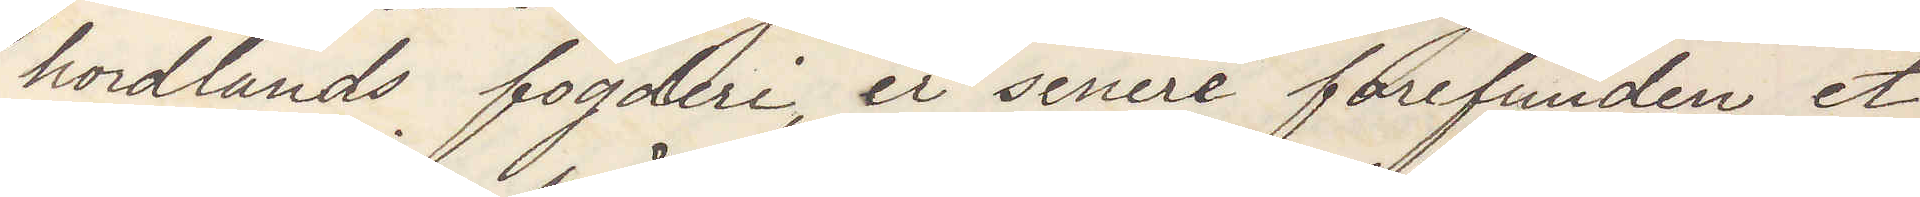hordlands fogderi, er senare forefunden et
